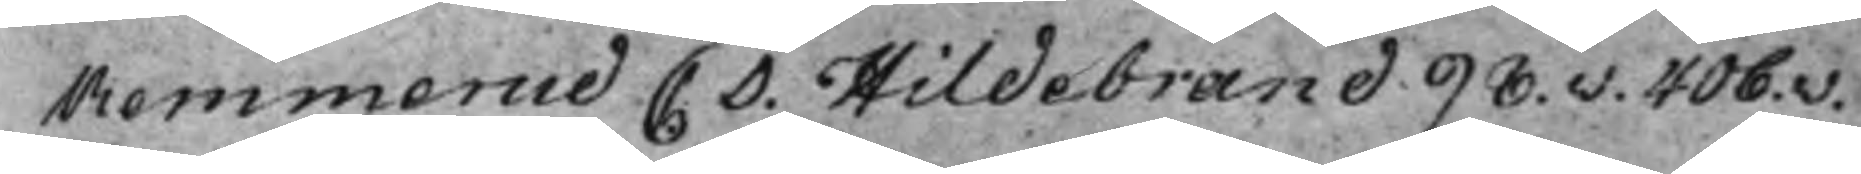Remmerud C D. Hildebrand 98.v. 406.v.
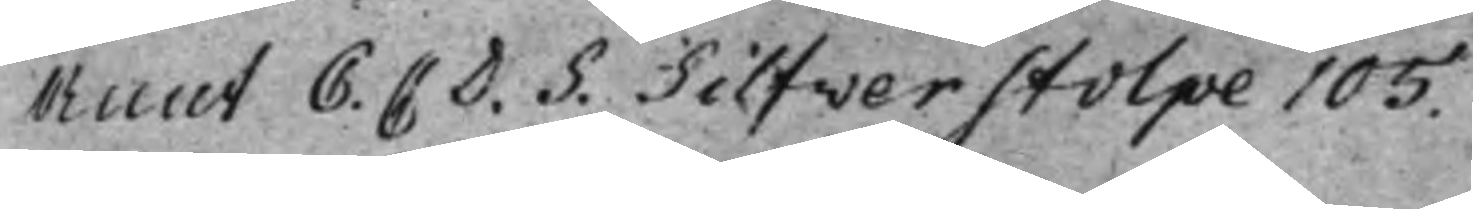Ruut C. C. D. S. Silfverstolpe 105.
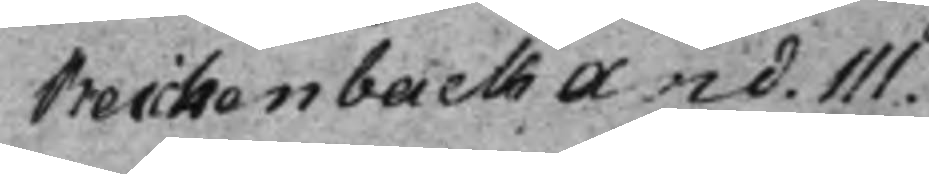Reickenback And. 111.
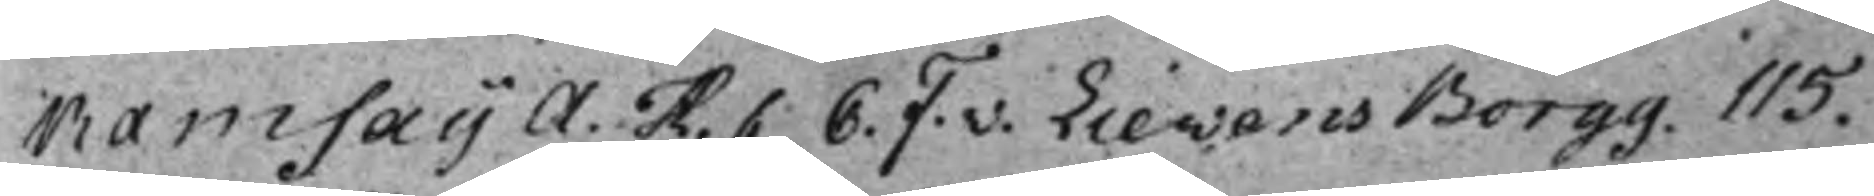Ramsay A. H. C. F. v. Lievens Borgg. 115.
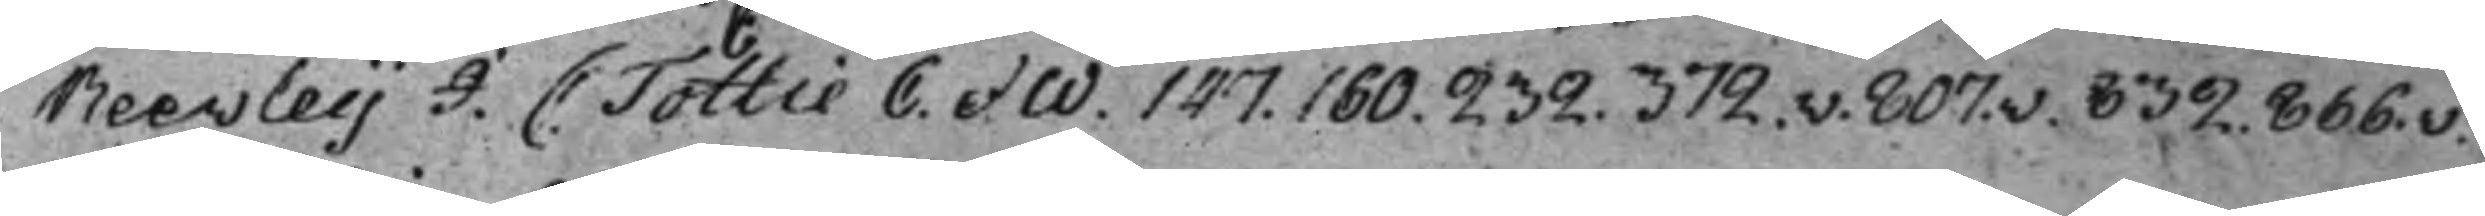Reevley J. C: Tottie C. et W. 147. 160. 232. 372.v. 807.v. 832. 866.v.
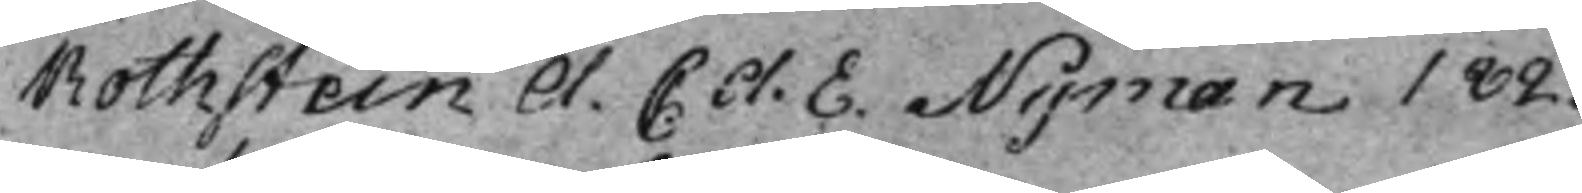Rothstein A. C. A. E. Nyman 182.
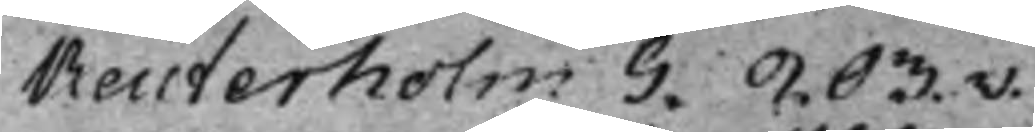Reuterholm G. 203.v.
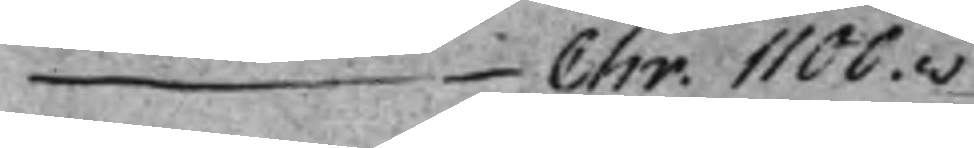— Chr. 1100.v
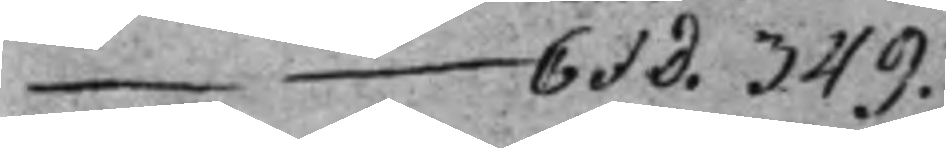— C et D. 349.
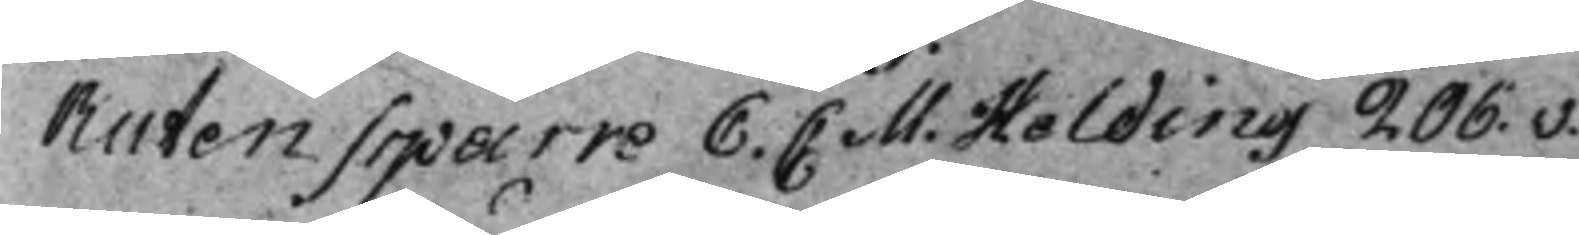Rutensparre C. C M. Holding 206.v.
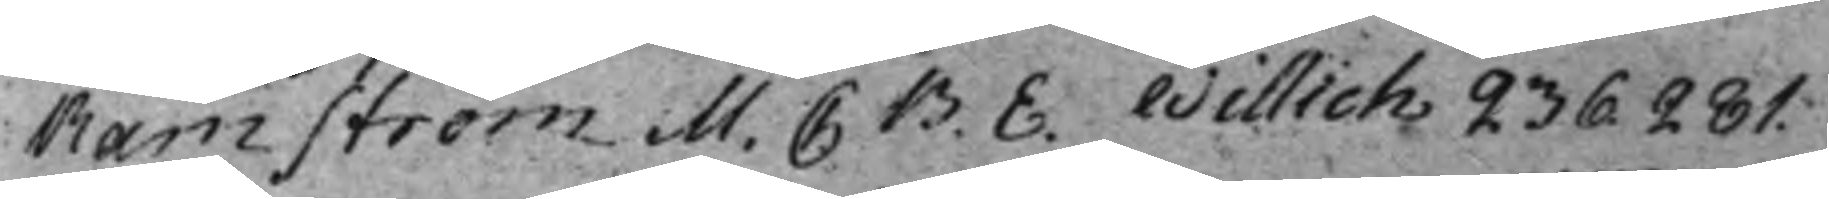Ramström M. C B. E. Willich 236. 281.
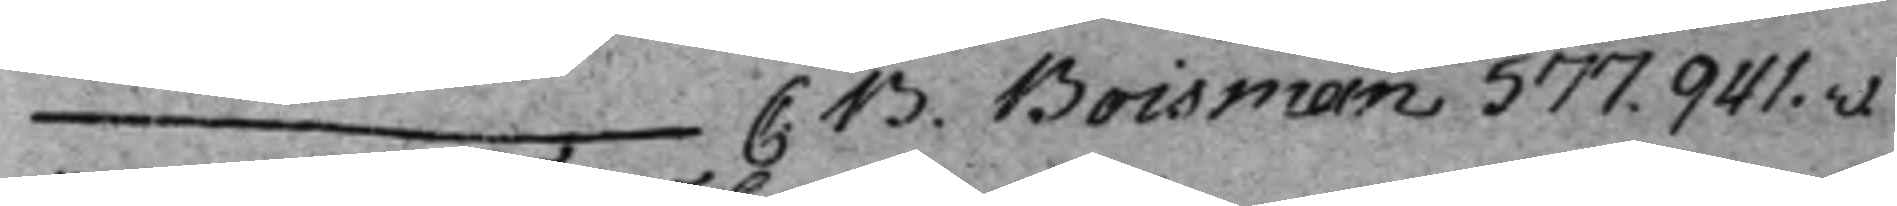— C: B. Boisman 577. 941.v.
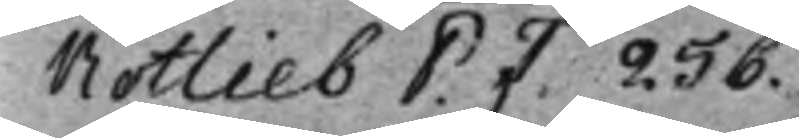Rotlieb P. F. 256.
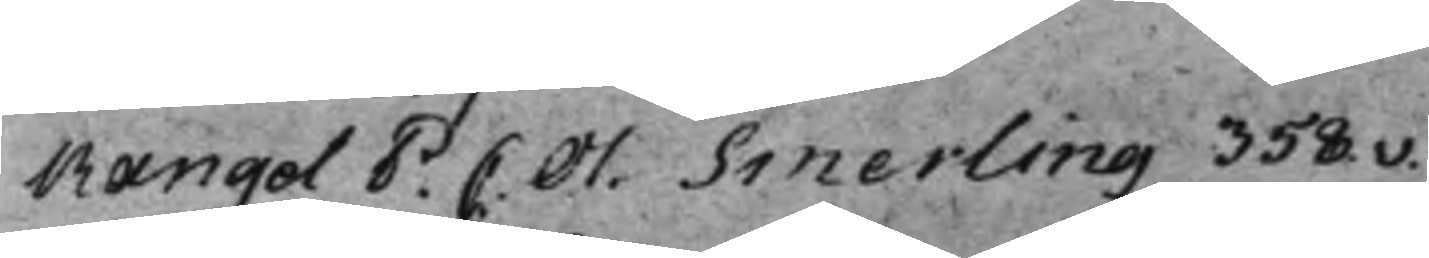Rangel P. C. Ol. Smerling 358.v.
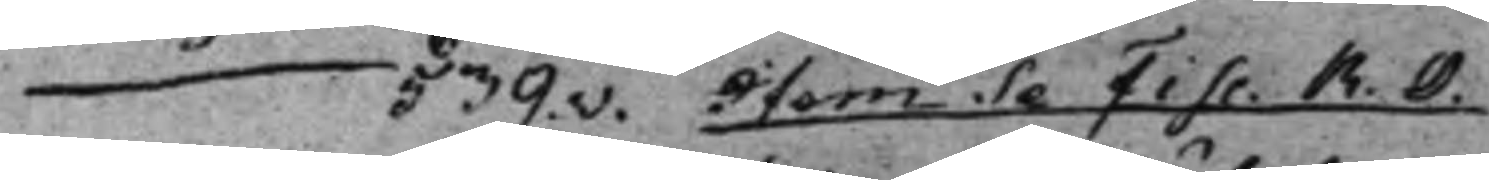— 539.v. Item Se Fisc. R. O.
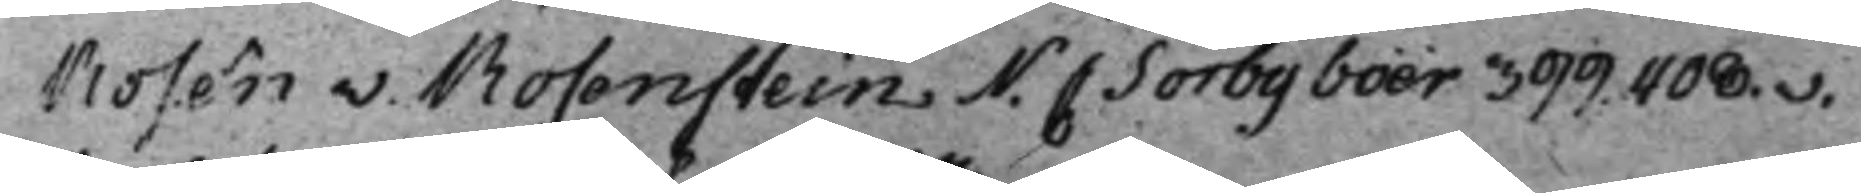Rosén v. Rosenstein N. C Sörby boër 399. 408.v.
